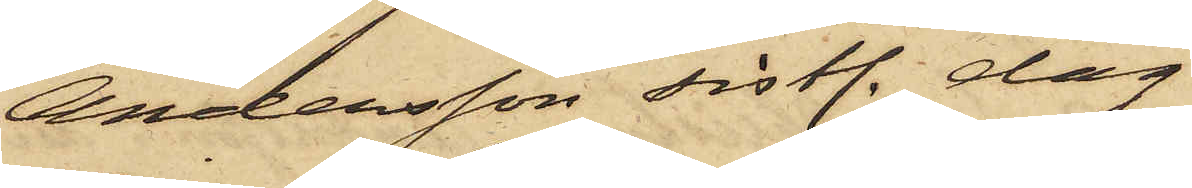Andersson sistl. dag
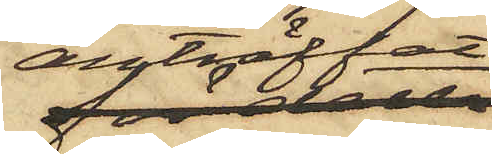anträffat
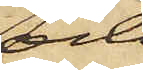och
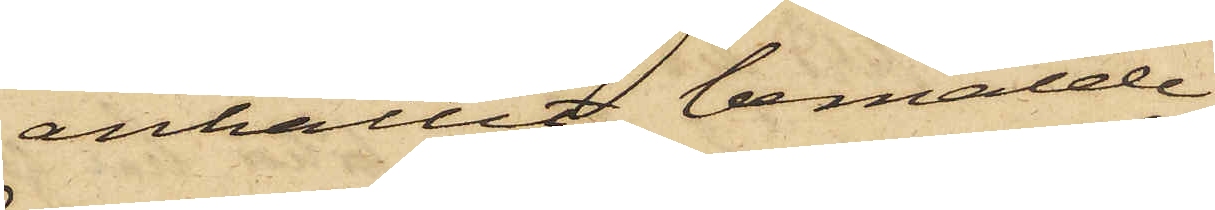anhållit bemälde
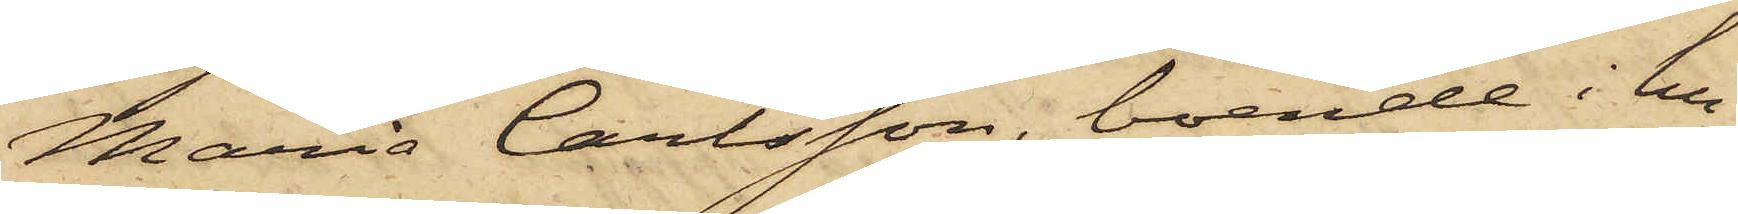Maria Carlsson, boende i hu¬
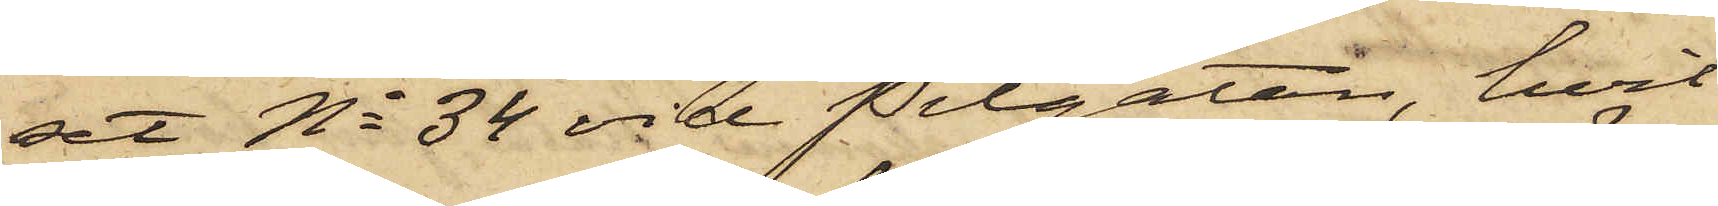set No 34 vid Pilgatan, hvil¬
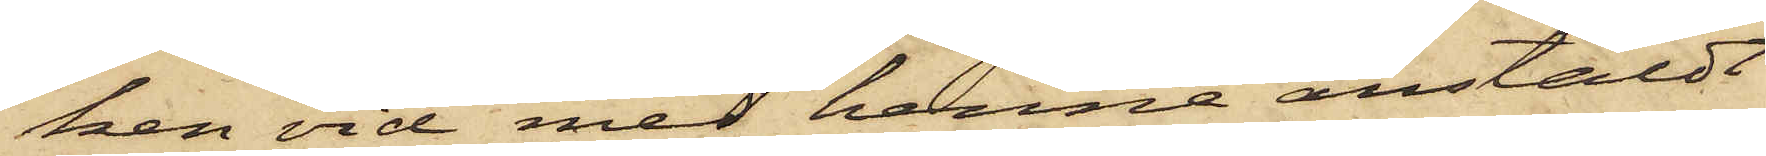ken vid med henne anstäldt
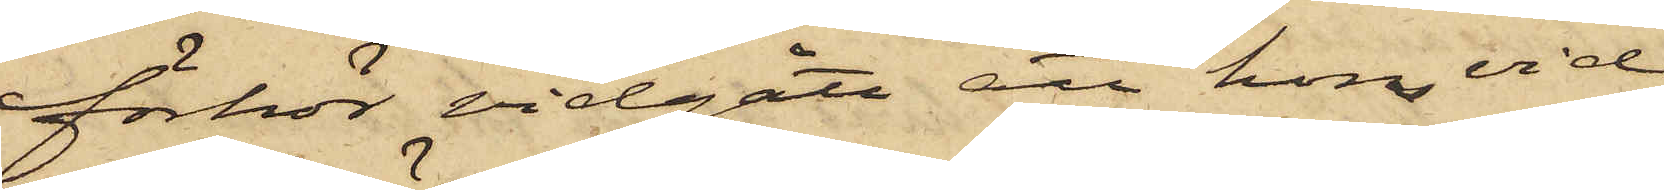förhör vidgått att hon vid
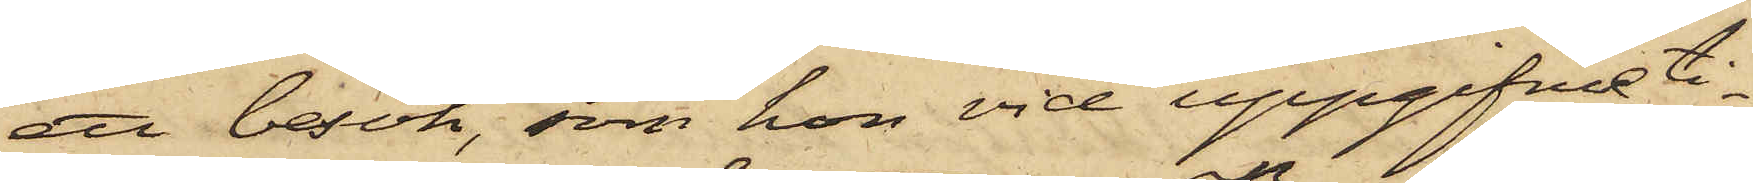ett besök, som hon vid uppgifvne ti¬
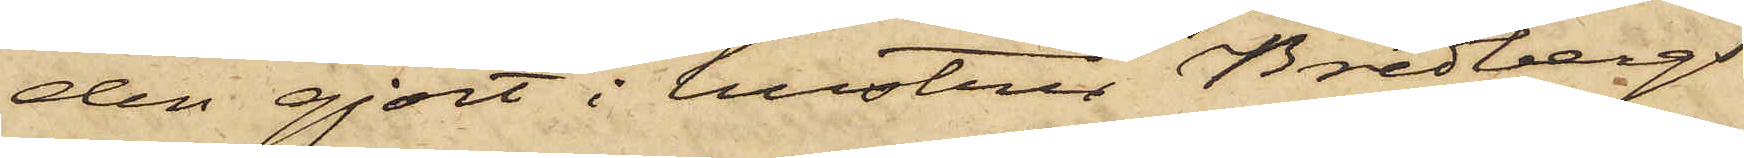den gjort i hustru Bredbergs
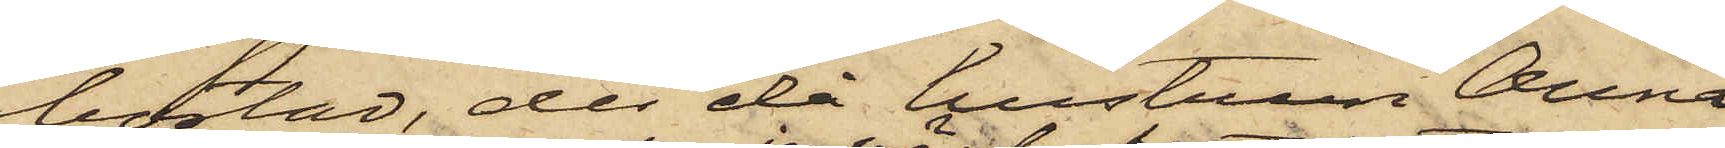bostad, der då hustrun Anna
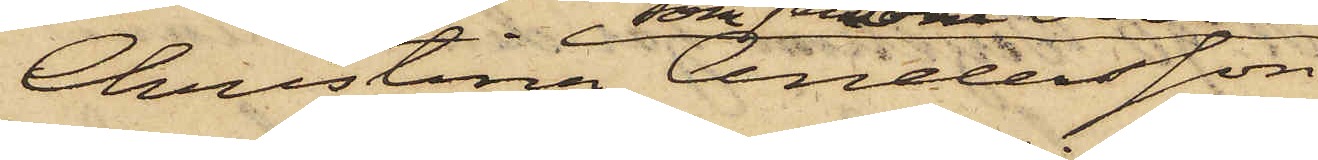Christina Andersson
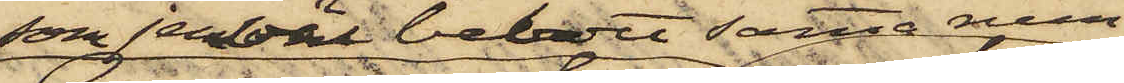som jemväl bebott samma rum
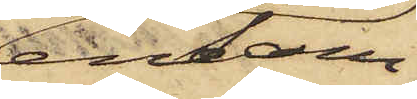ensam
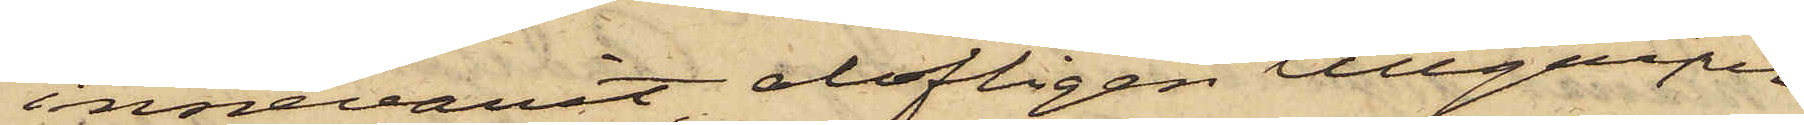innevarit, olofligen tillgripit
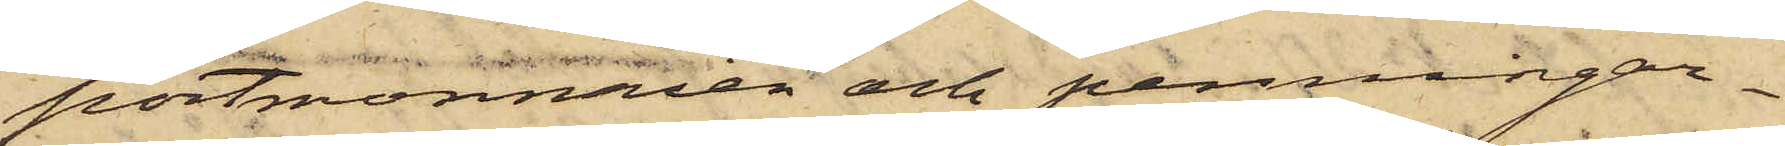portmonnaien och penningar¬
